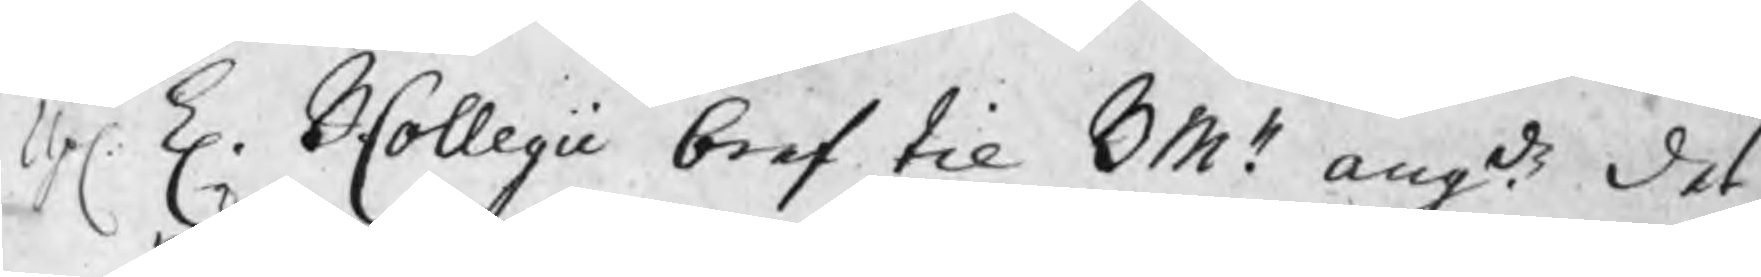Up. K. BCollegii bref til BMn. angde det
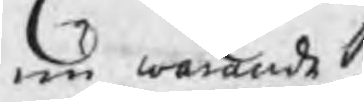nu warande
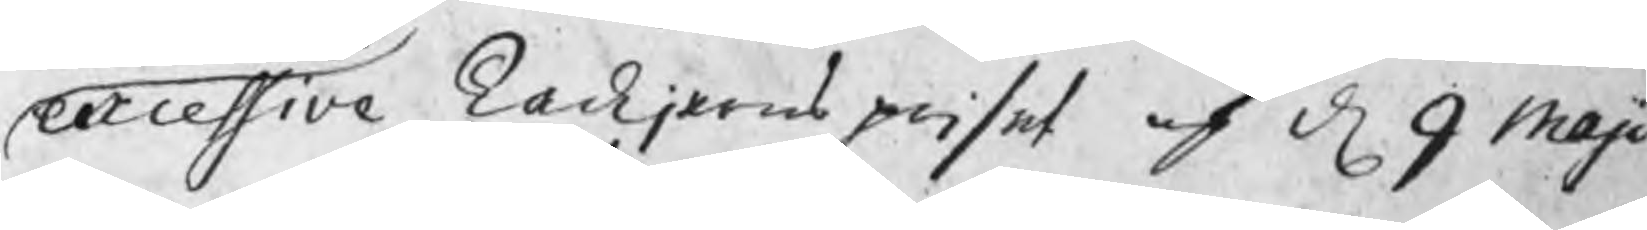excessive Tackjernspriset af d 9 Maji
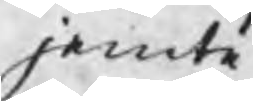jemte
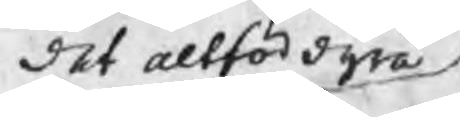det altför dyra
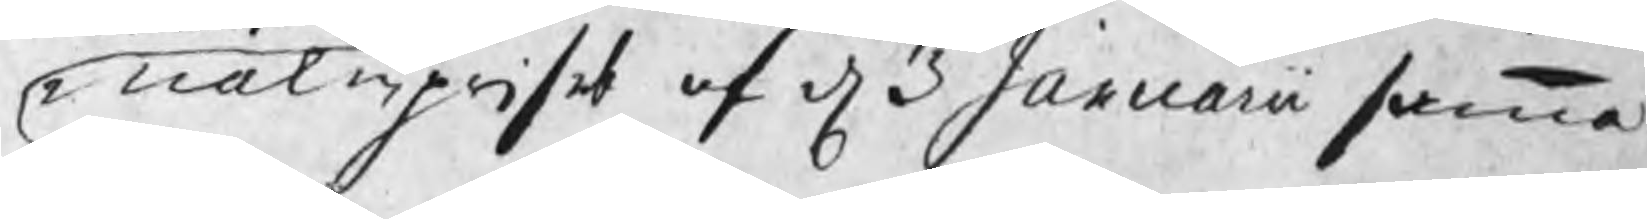malmpriset af d 3 Januarii samma
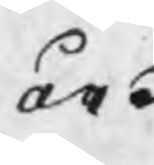år.
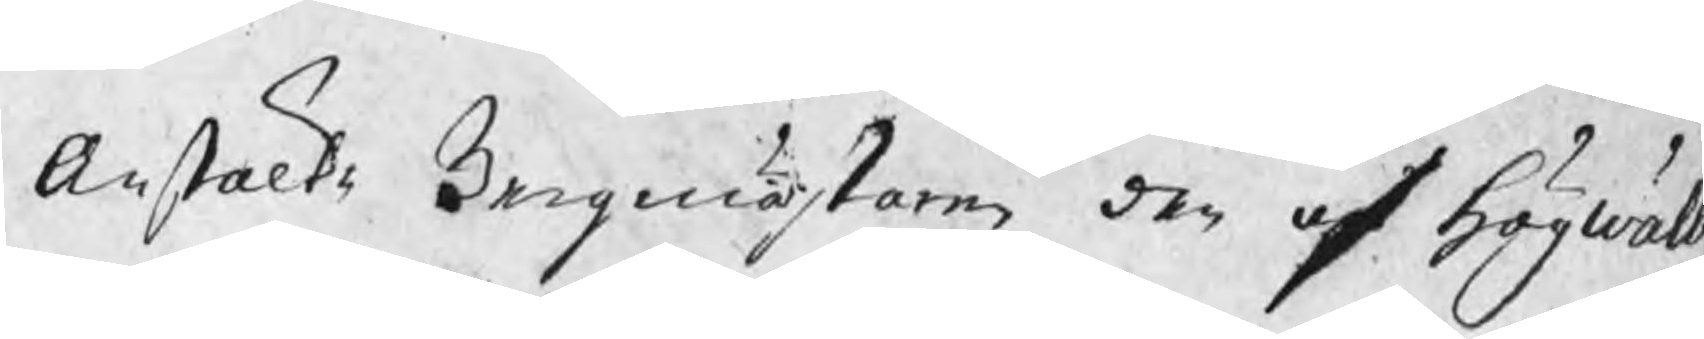Anstälte Bergmästaren den af högwälb.
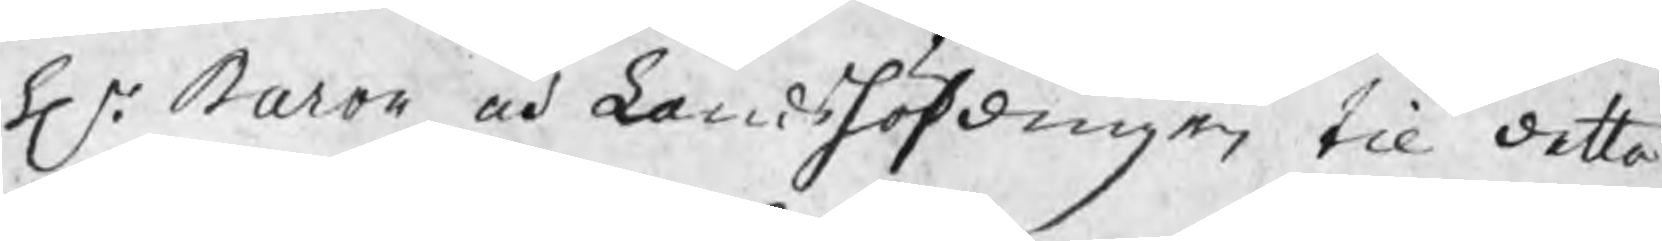h.r Baron och Landshöfdingen til detta
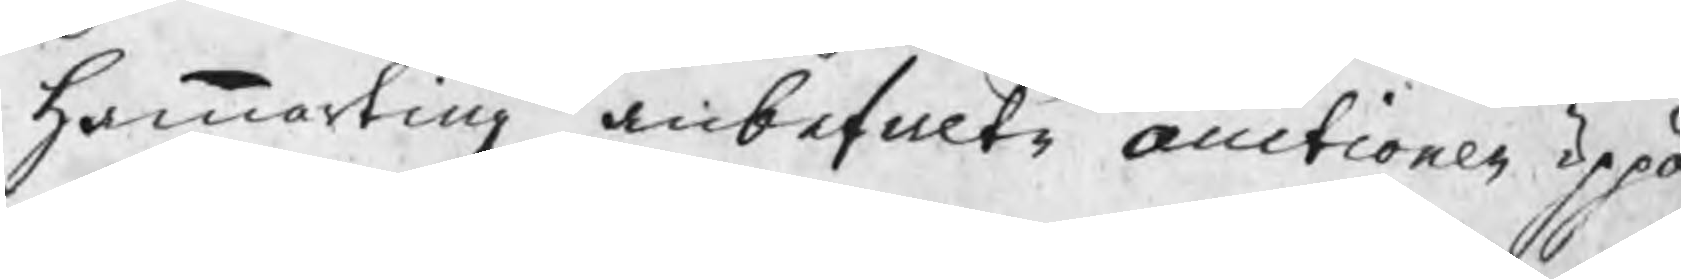hammarting anbefalte auctioner uppå
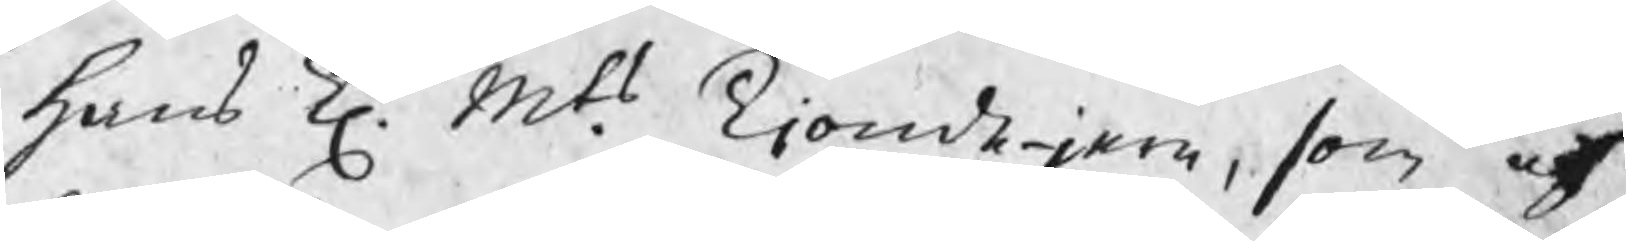hans K. Mts. Tiondejern, som af
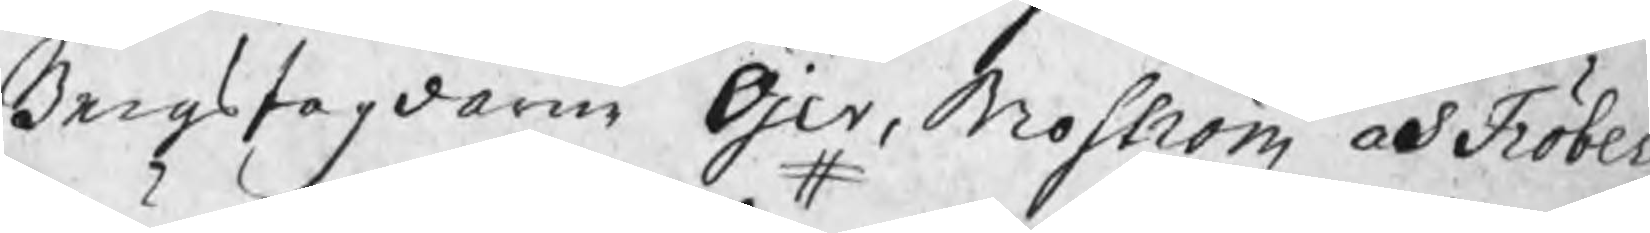Bergsfogdarne Öjer, Moström och Fröberg
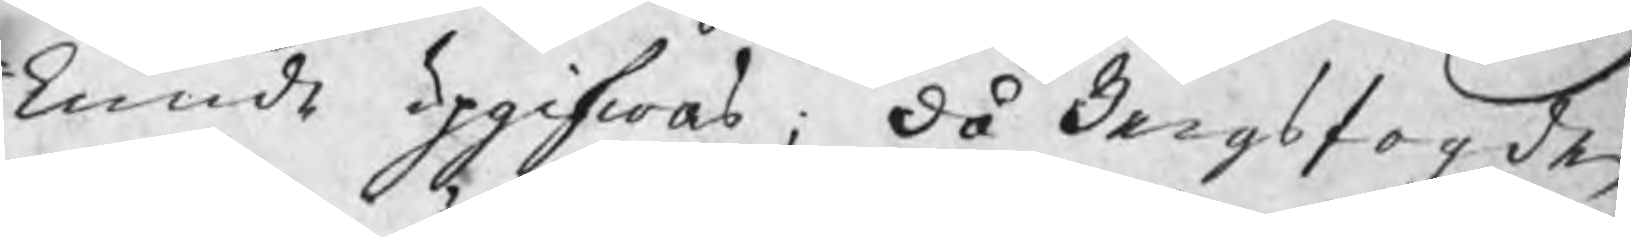kunde upgifwas; då Bergsfogden
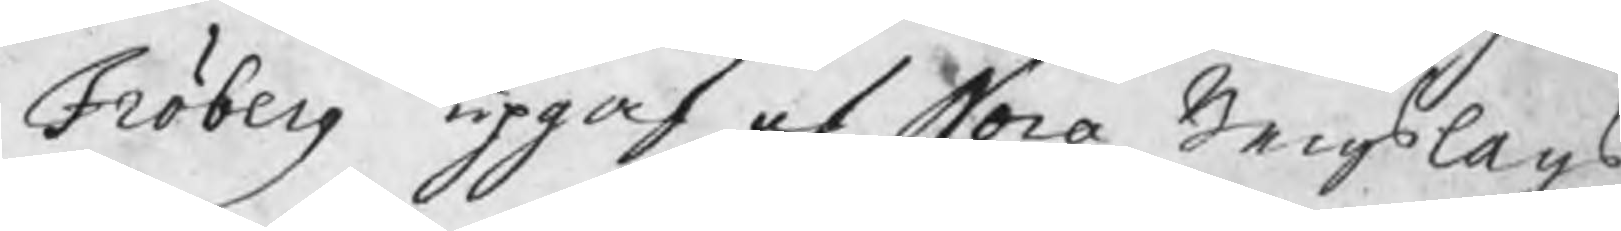Fröberg upgaf af Nora Bergslags
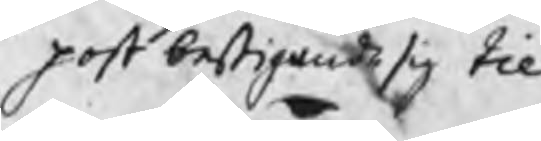post bestigande sig till
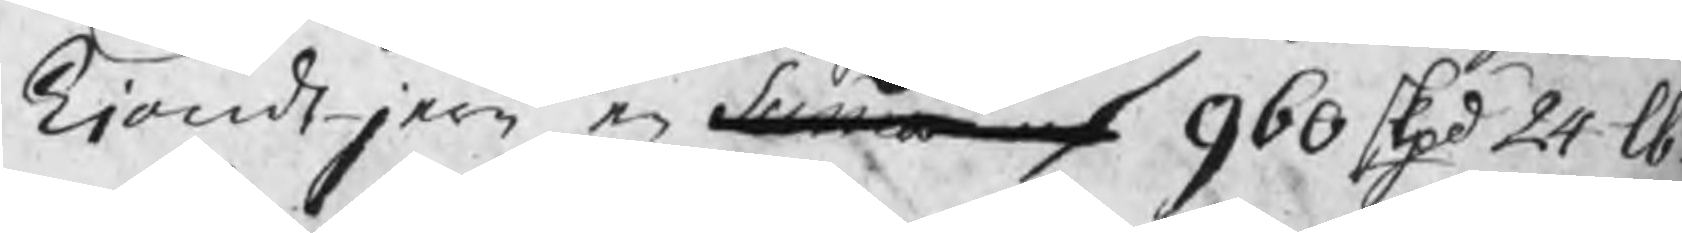Tiondejern en Summa af  960 Skpd 24 lb
